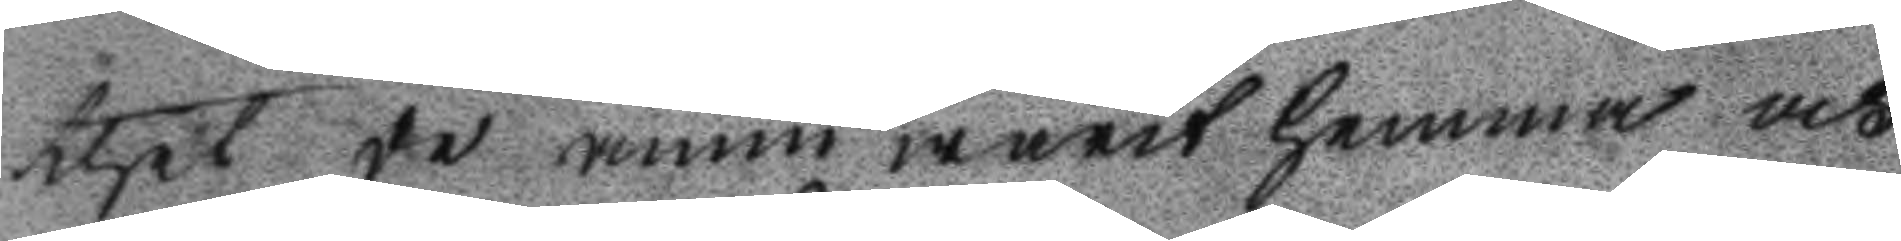thet de ännu warit hemma och
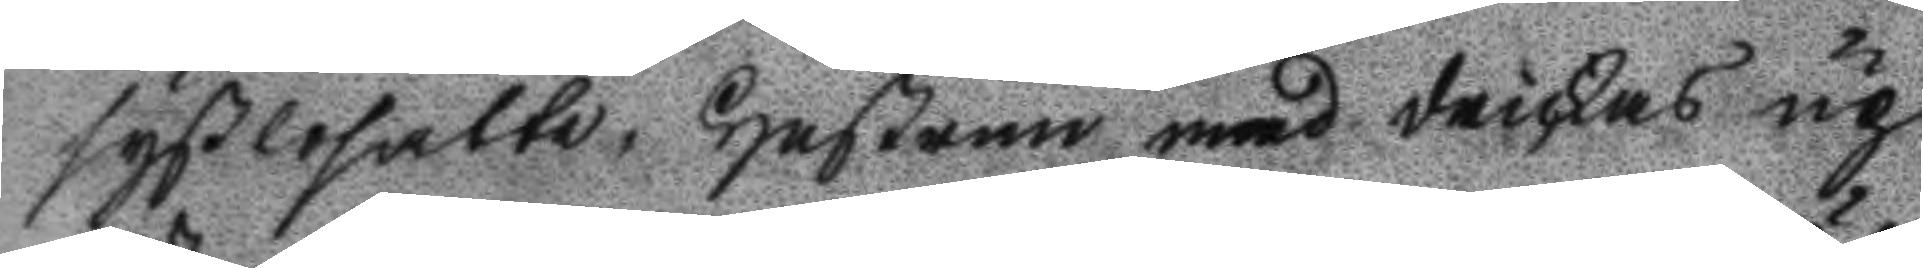syßlosatte, Hustrun med drickas up
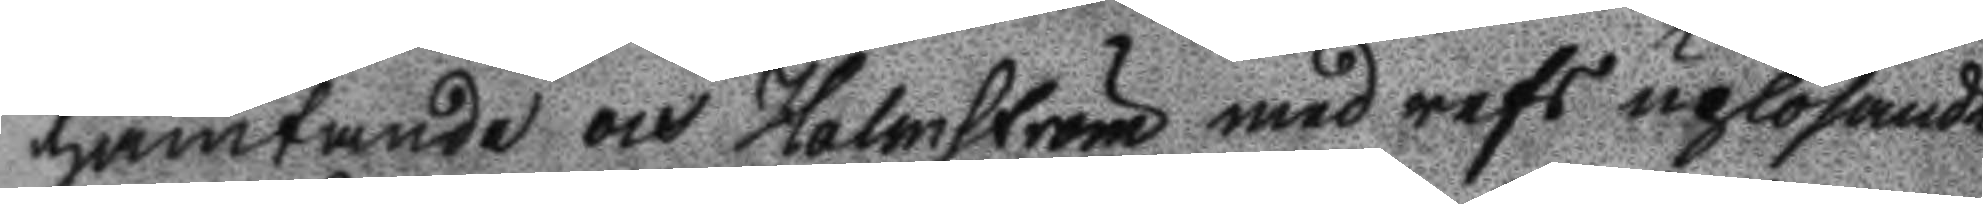hämtande och Holmström med refs uplösande
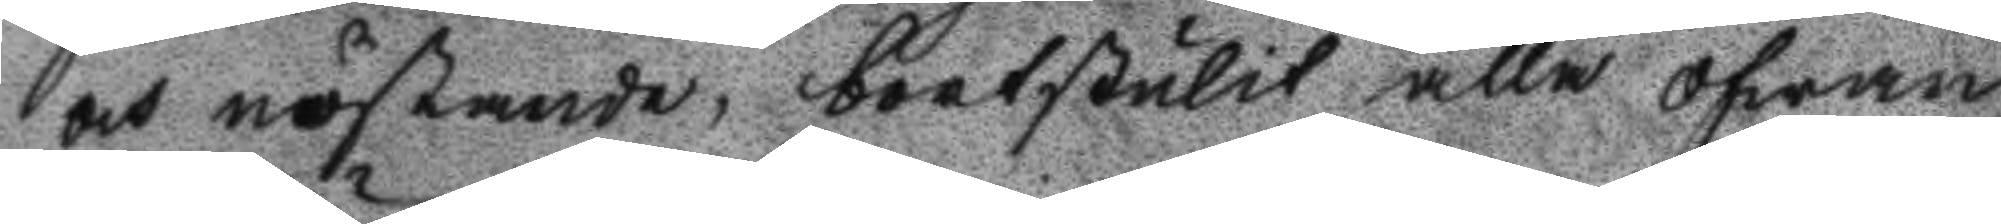och nöstande, bortstulit alla ofwan
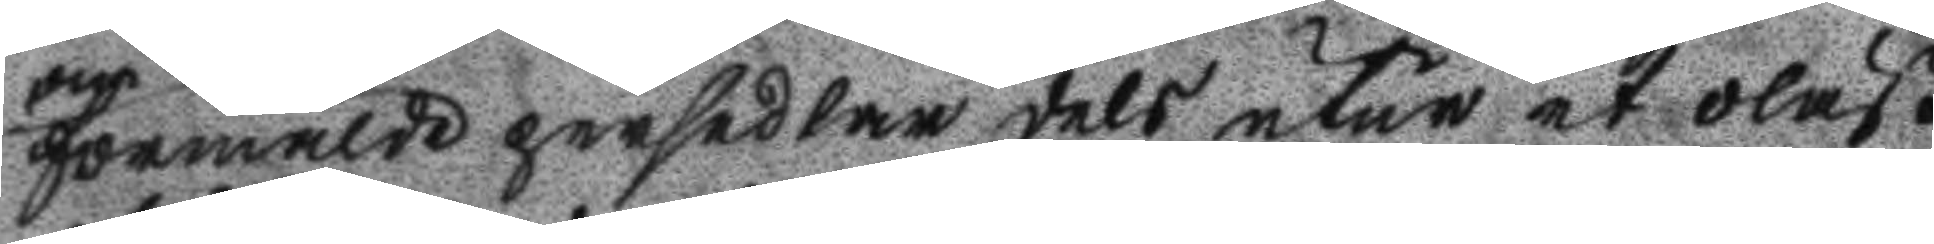förmälde persedlar dels utur et olåst
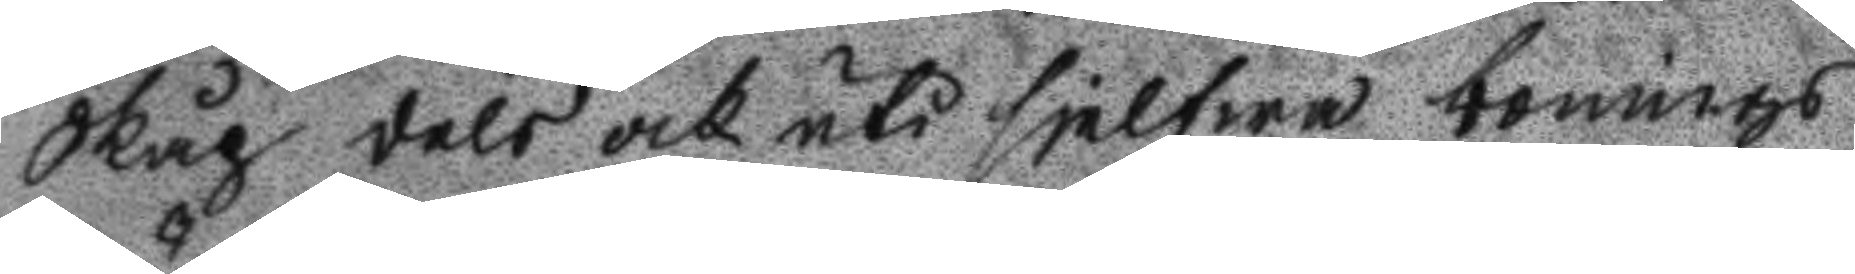Skåp dels och uti sjelfwa bonings
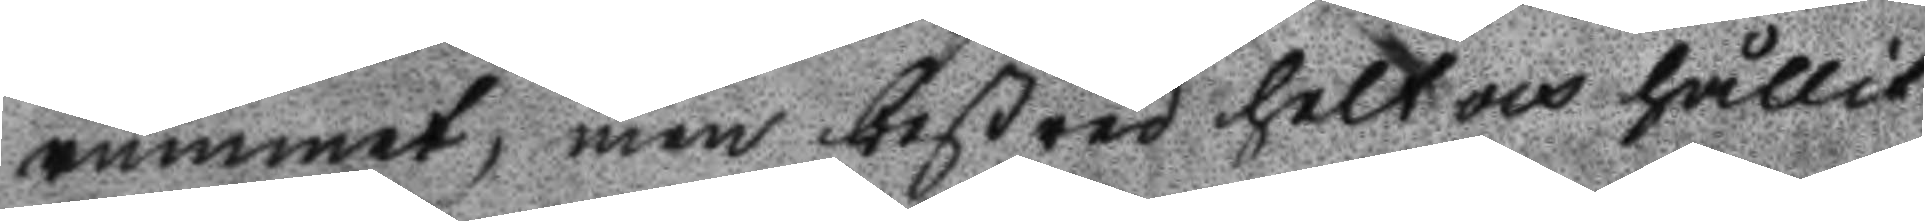rummet, men bestred helt och hållit
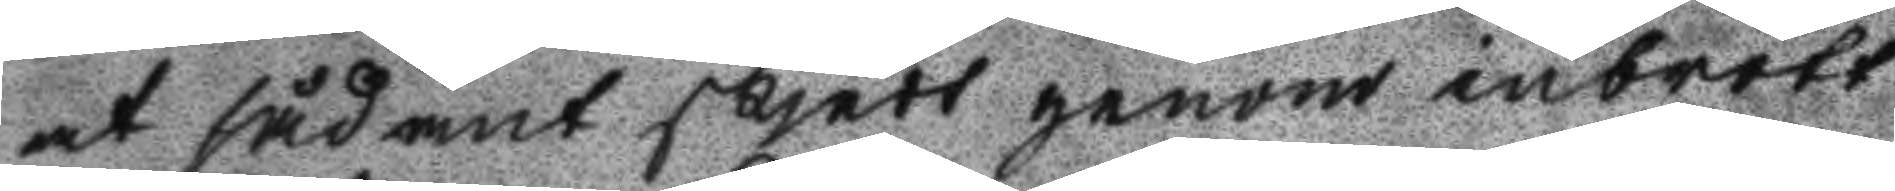at sådant skjedt genom inbrott:
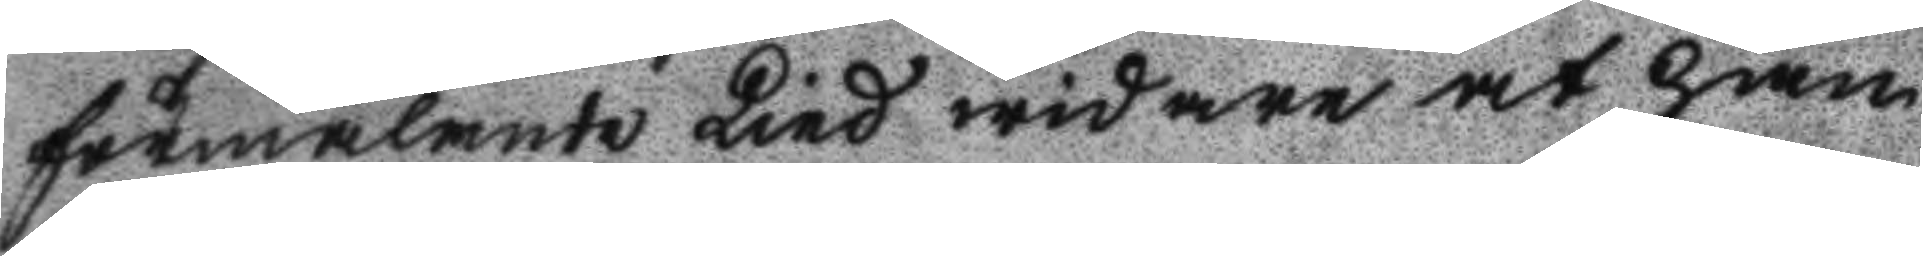förmälande Lind widare at han
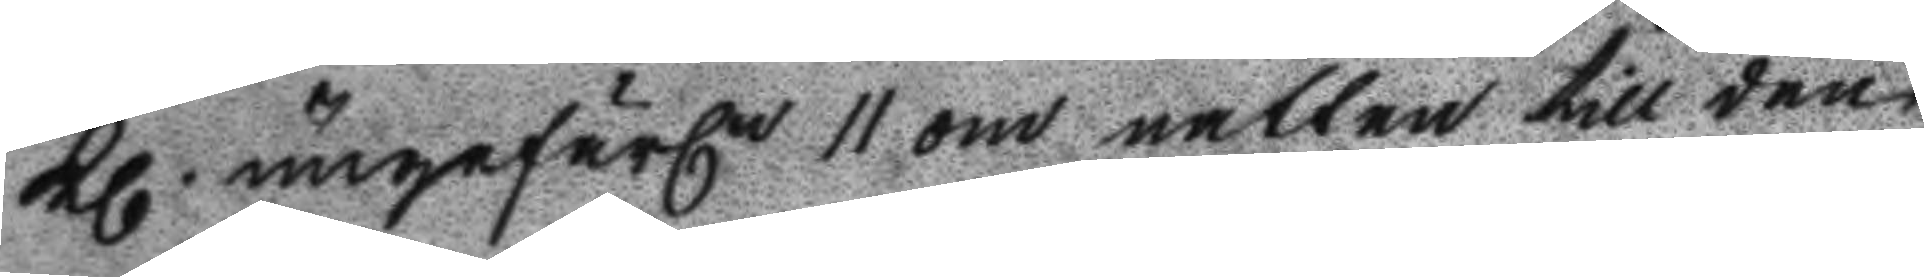Kl. ungefärln 11 om natten till den
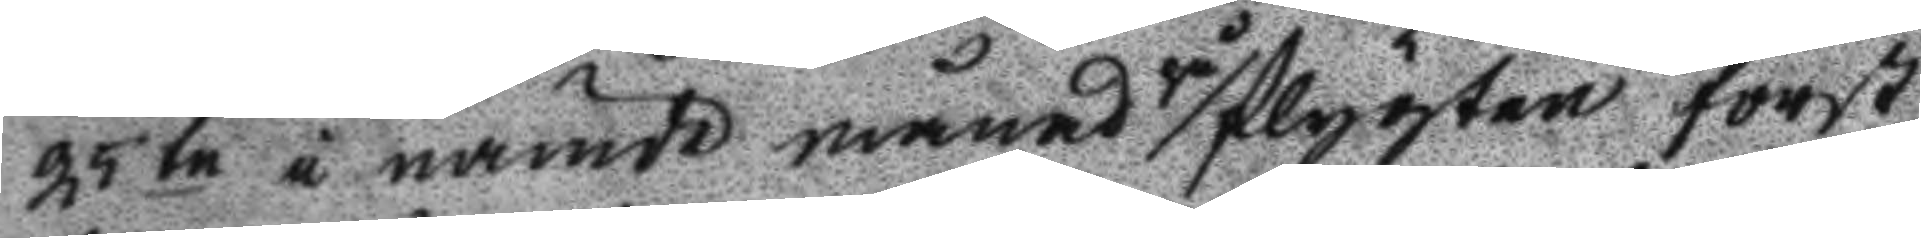25 te i nämde månad på flygten först
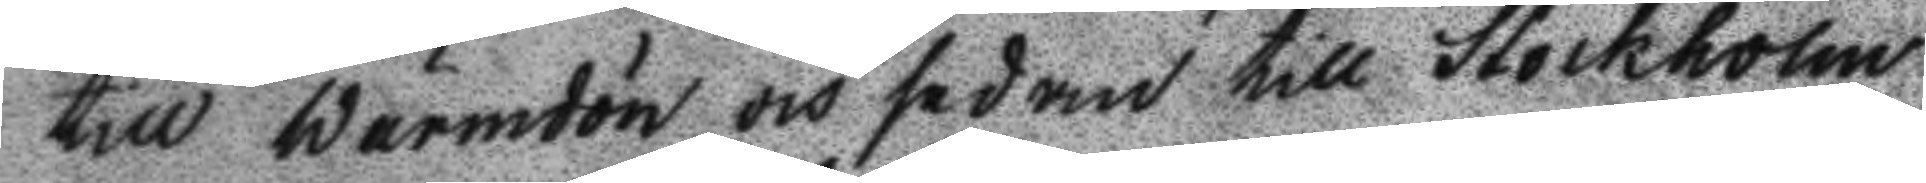till Wärmdön och sedan till Stockholm
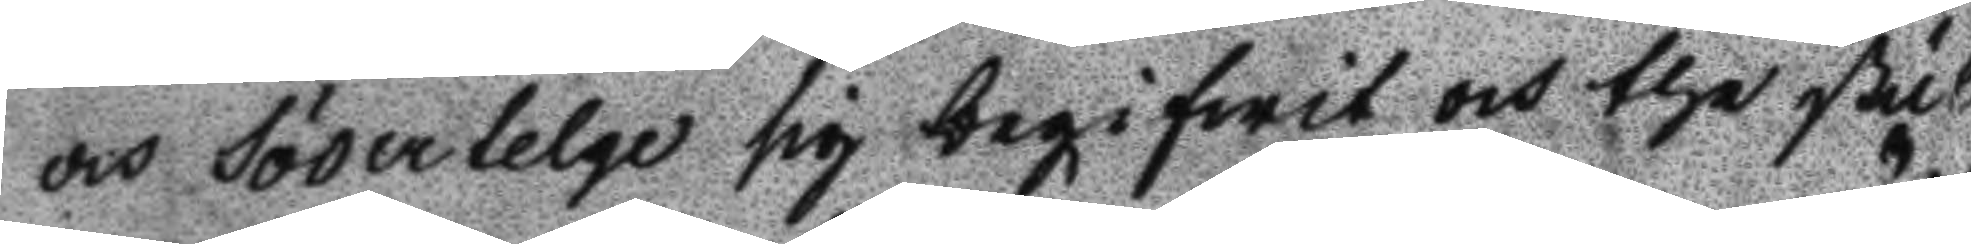och Södertelge sig begifwit och the stul
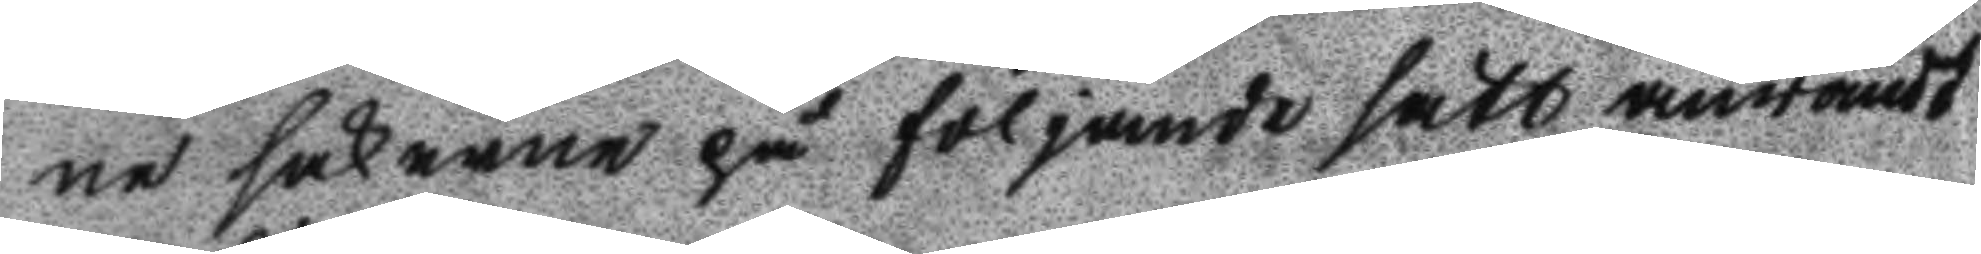ne sakerne på följande sätt anwändt
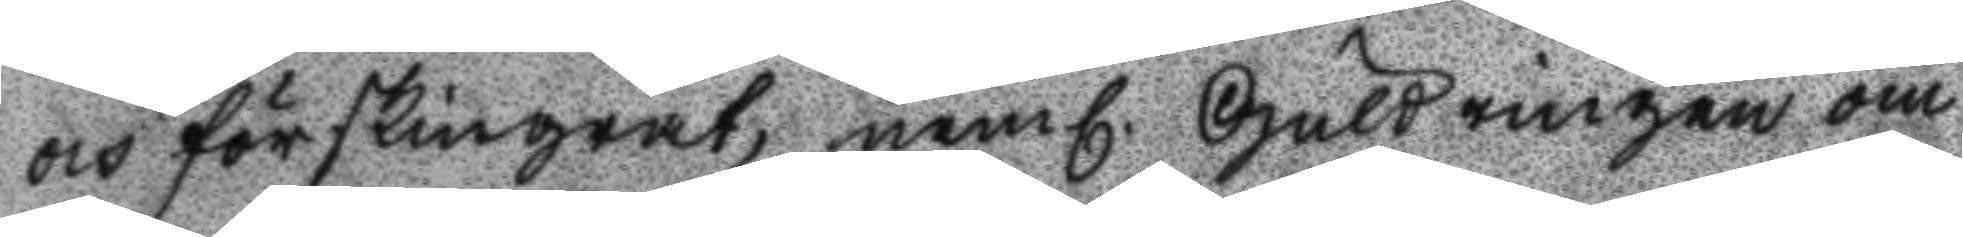och förskingrat, neml. Guldringen om
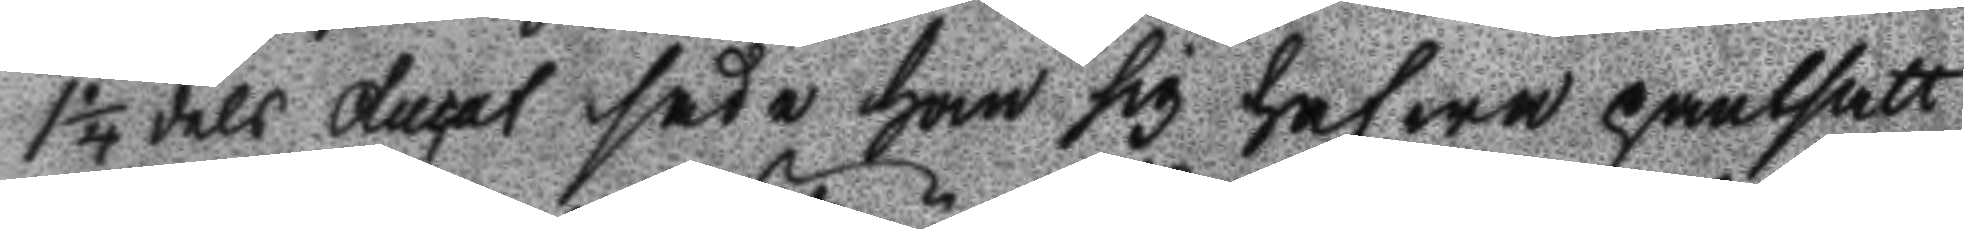1 1/4 dels ducat sade han sig hafwa pantsatt
